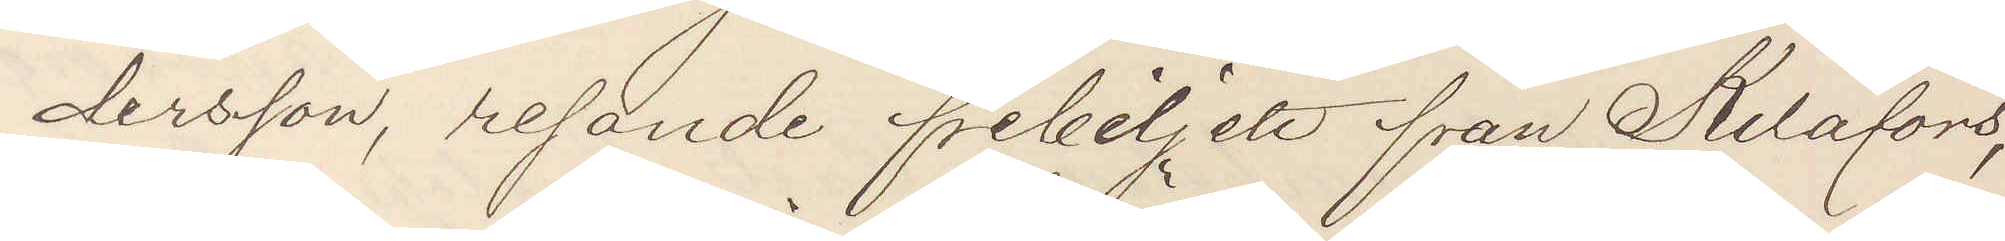dersson, resande fribiljett från Kilafors,
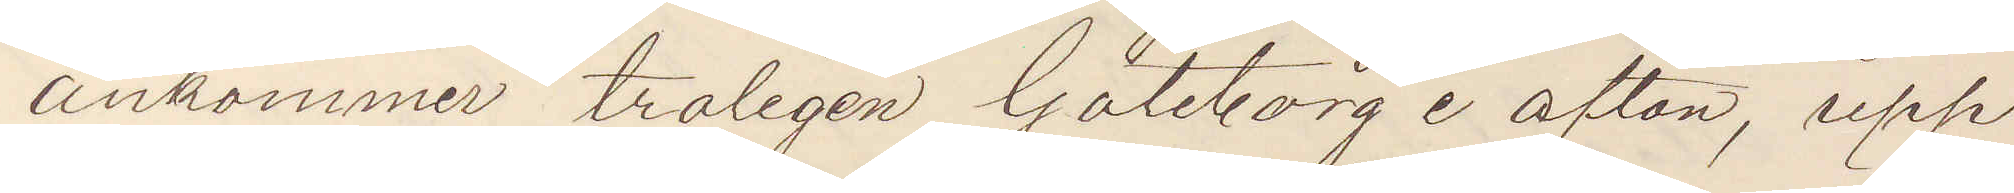ankommer troligen Göteborg i afton, upp¬
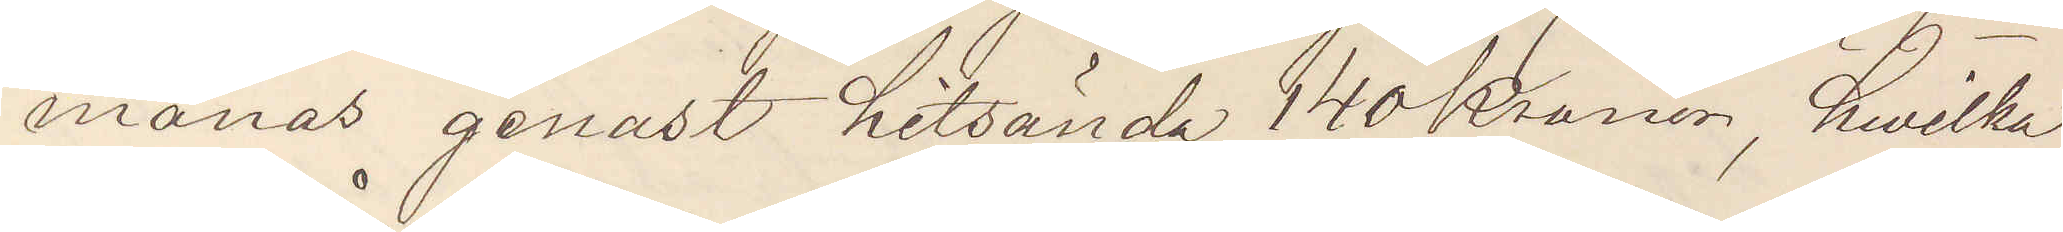manas genast hitsända 140 Kronor, hvilka
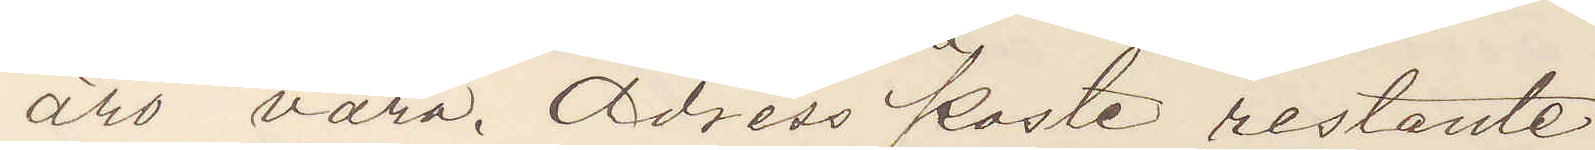äro våra. Adress "Poste restante".
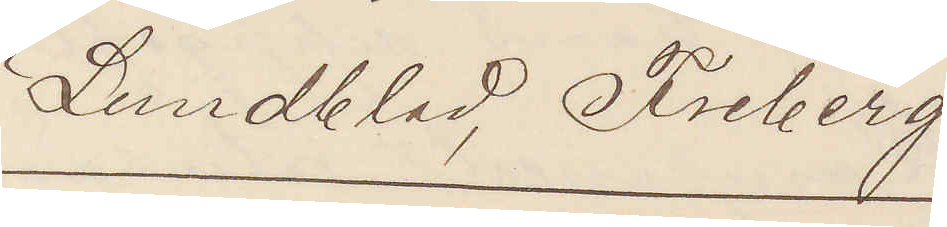Lundblad, Friberg.
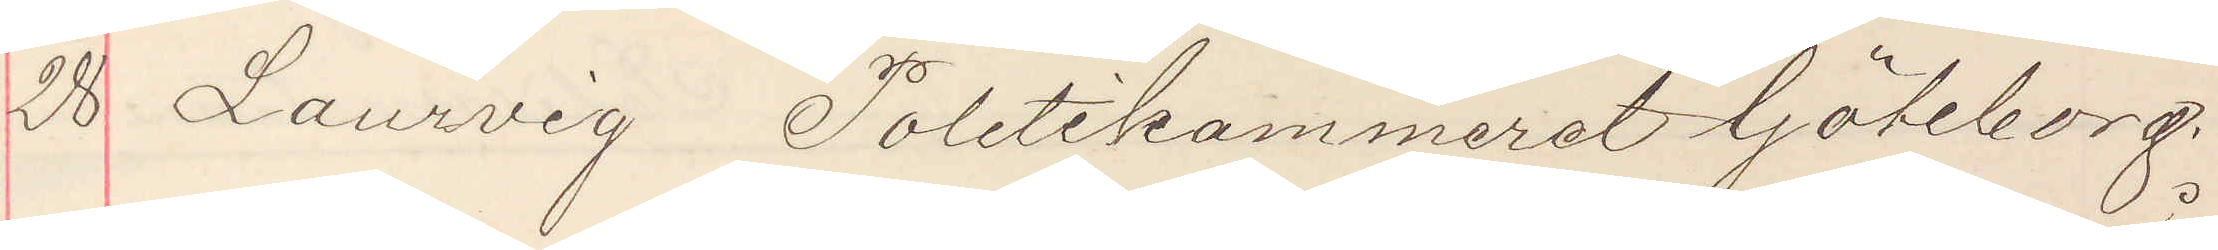28 Laurvig Politikammeret Göteborg.
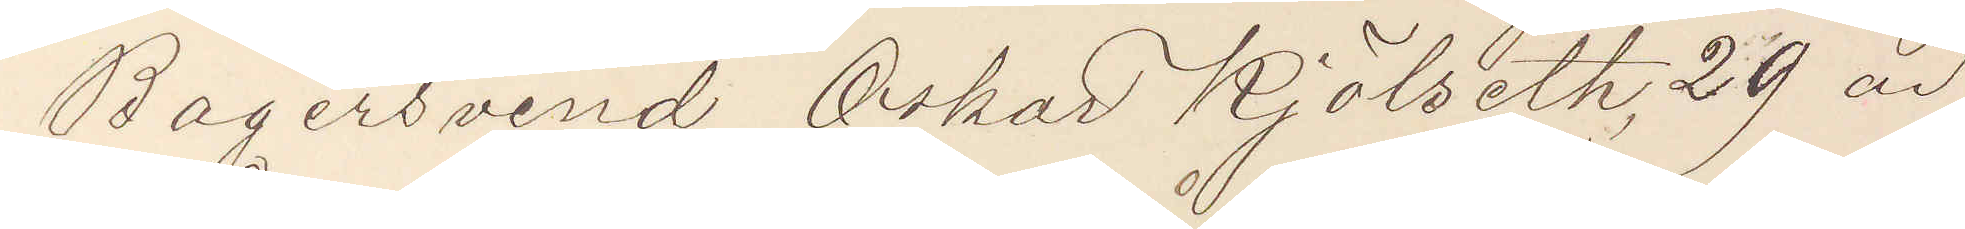Bagersvend Oskar Kjölseth, 29 år
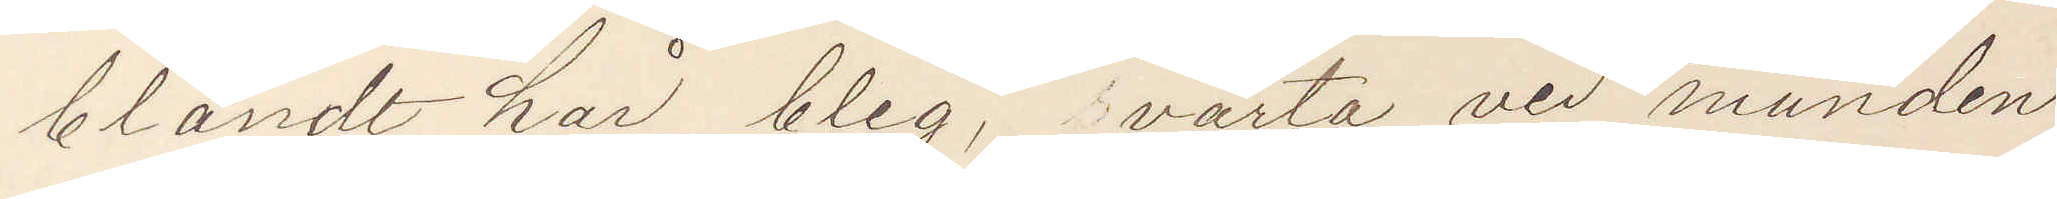blåndt hår bleg, vårta ved munden
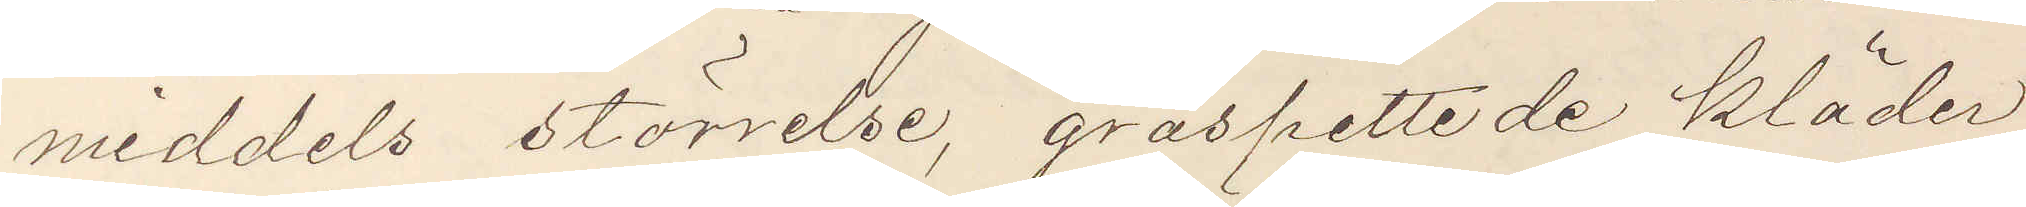middels störrelse, gråspettede kläder,
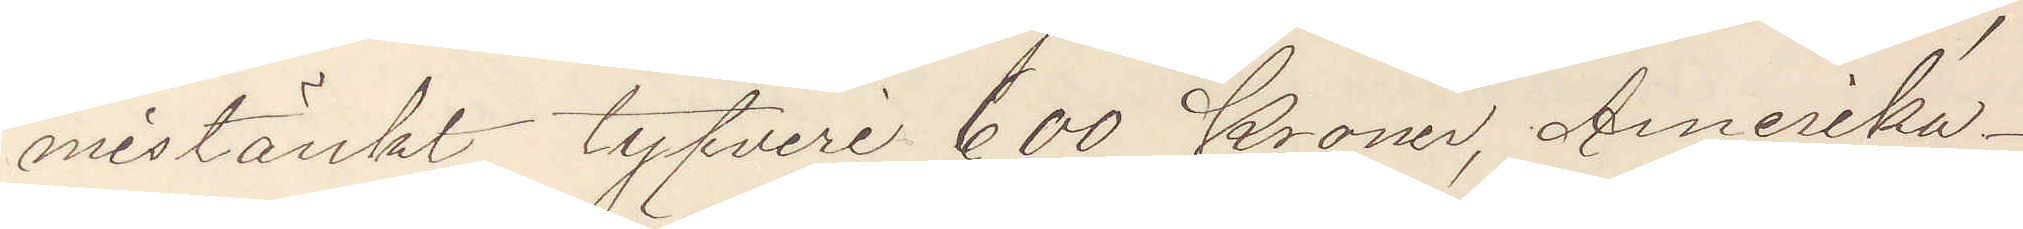mistänkt tyfveri 600 Kroner, Amerika
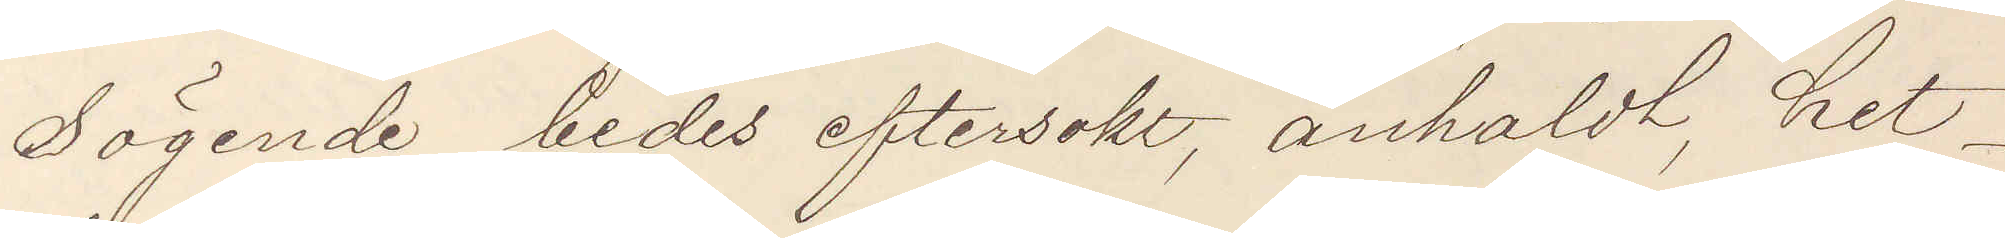Sögende bedes eftersokt, anholdt, hit¬
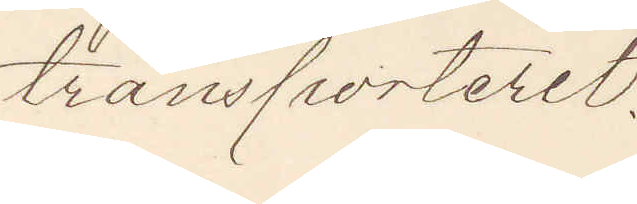transporteret.
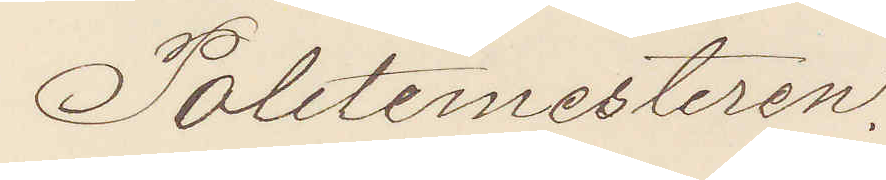Politimesteren.
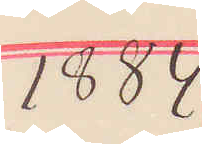1884
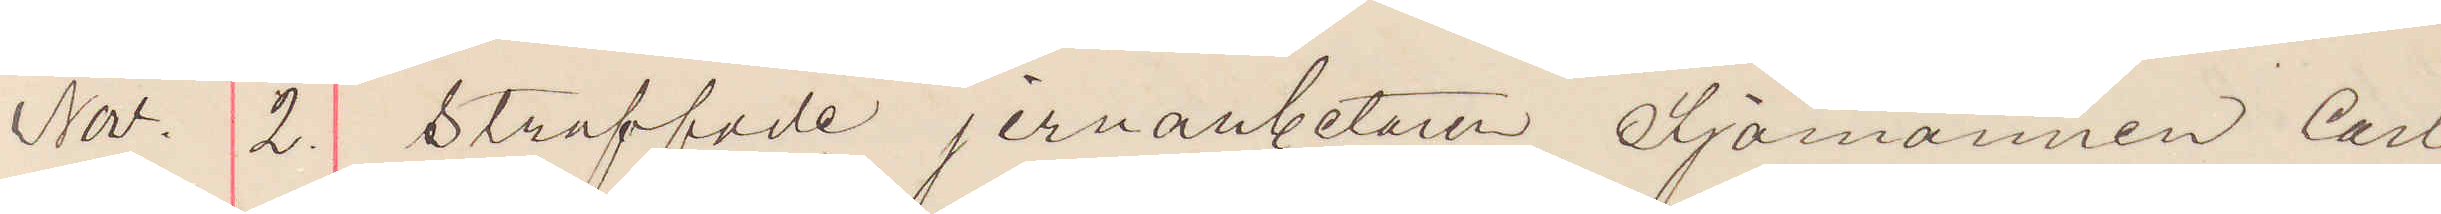Nov. 2. Straffade jernarbetaren Sjömannen Carl
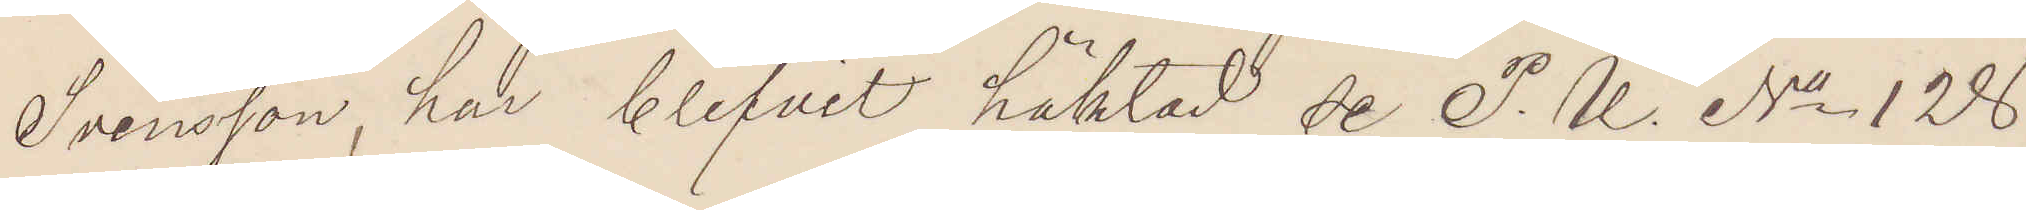Svensson, har blifvit häktad se P. U. No 128
